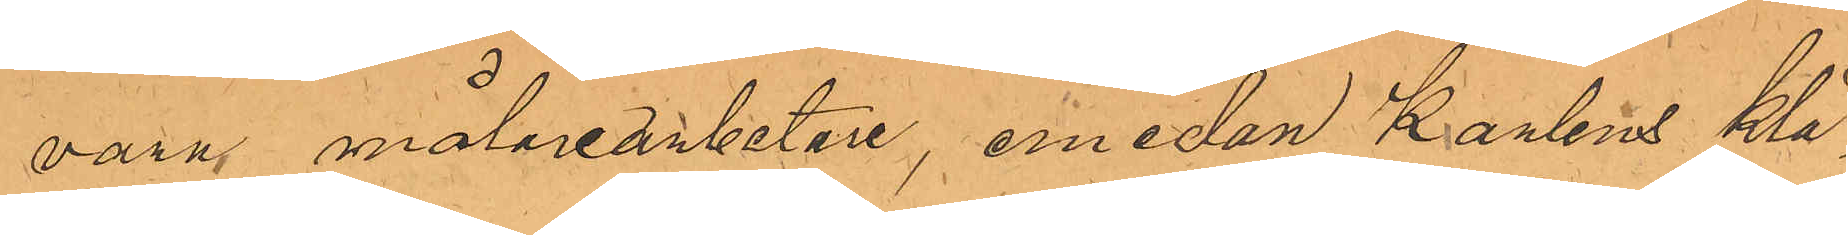vara målarearbetare, emedan Karlens klä¬
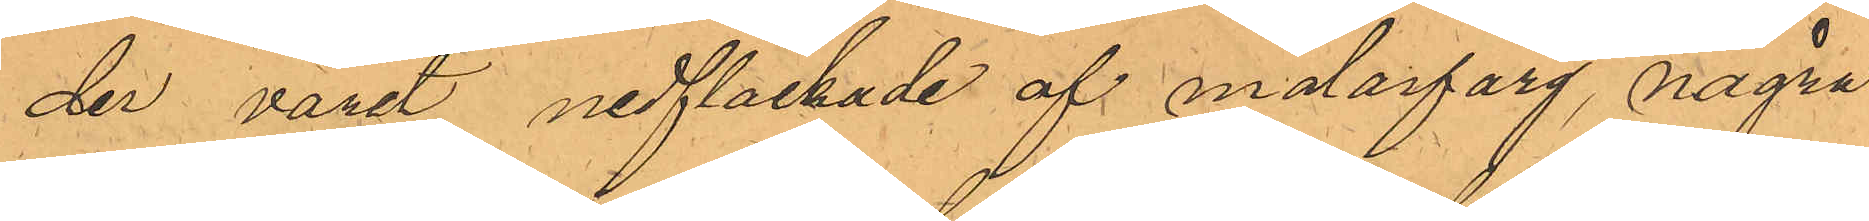der varit nedfläckade af målarfärg, några
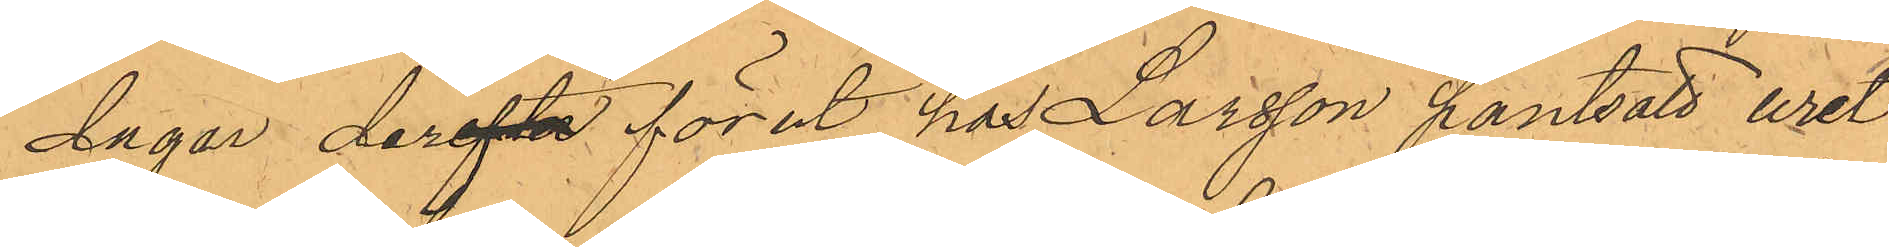dagar derefter förut hos Larsson pantsatt uret
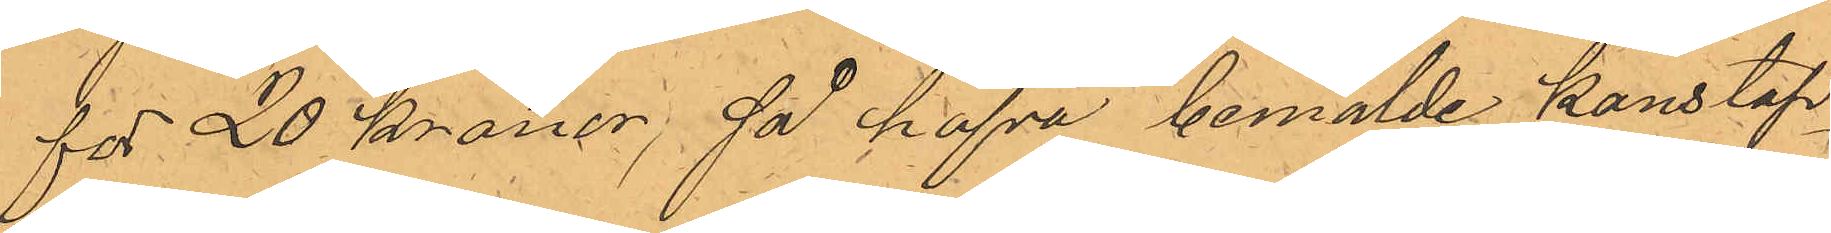för 20 kronor; så hafva bemälde konstap¬
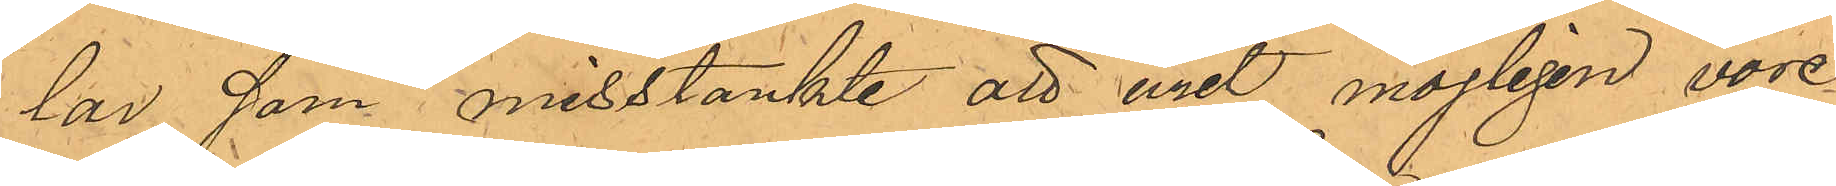lar, som misstänkte att uret möjligen vore
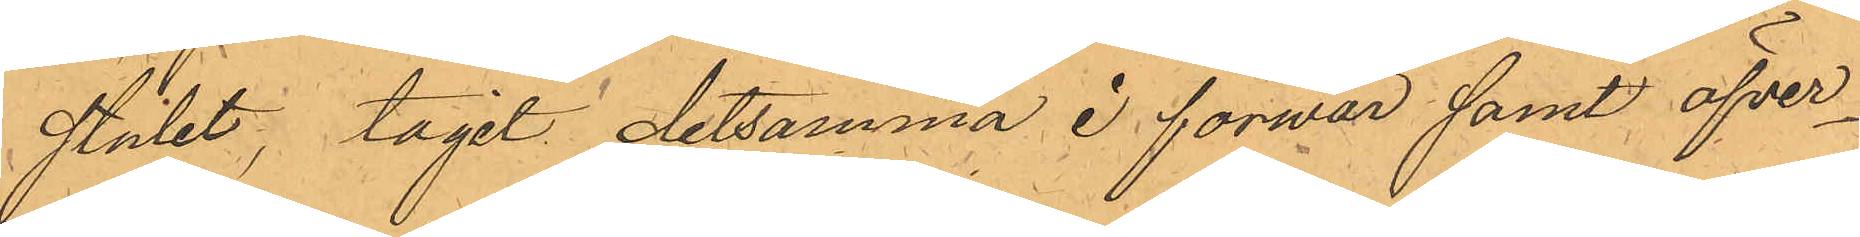stulet, tagit detsamma i förvar samt öfver¬
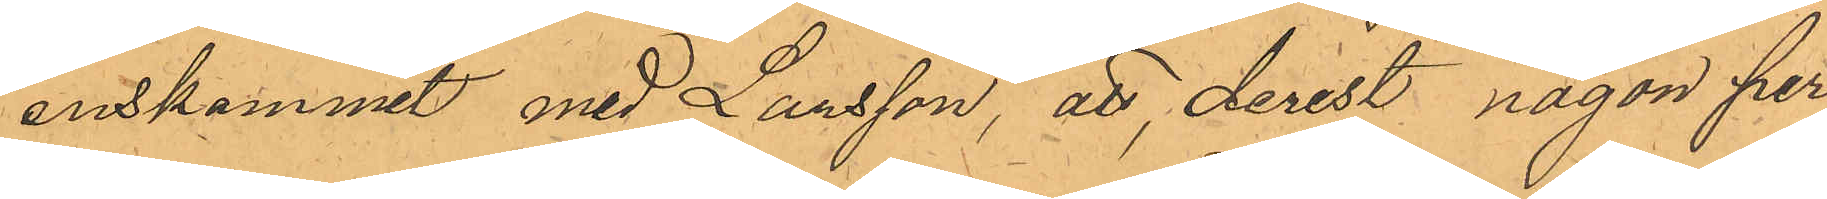enskommit med Larsson, att derest någon per¬
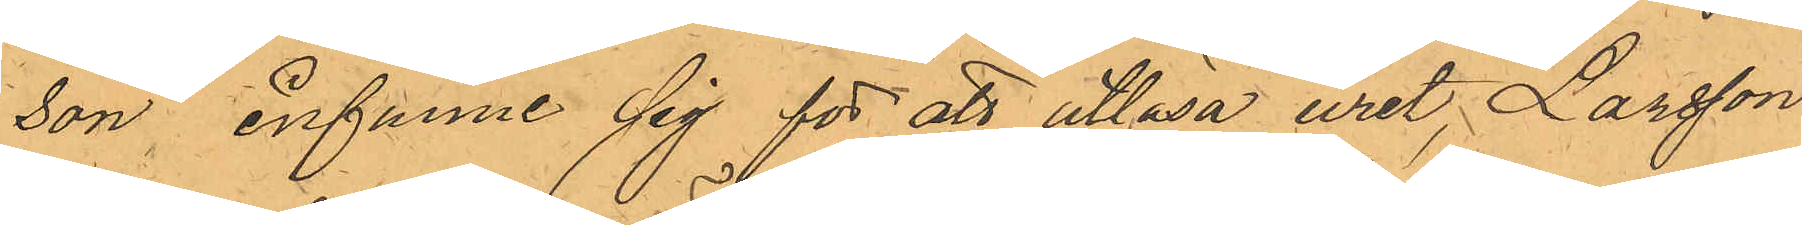son, infunne sig för att utlösa uret, Larsson
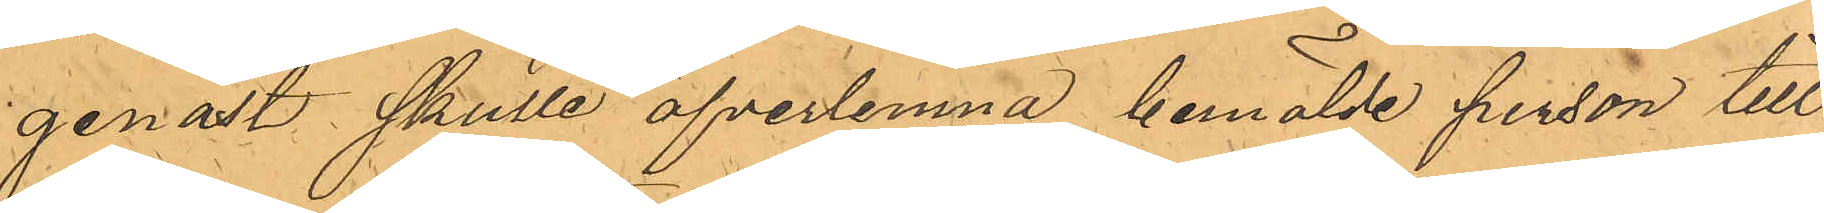genast skulle öfverlemna bemälde person till
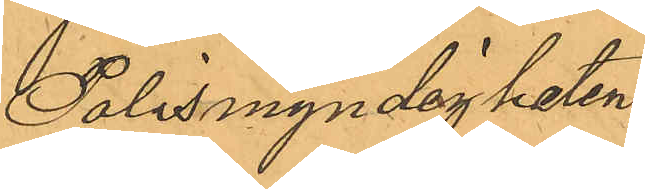Polismyndigheten.
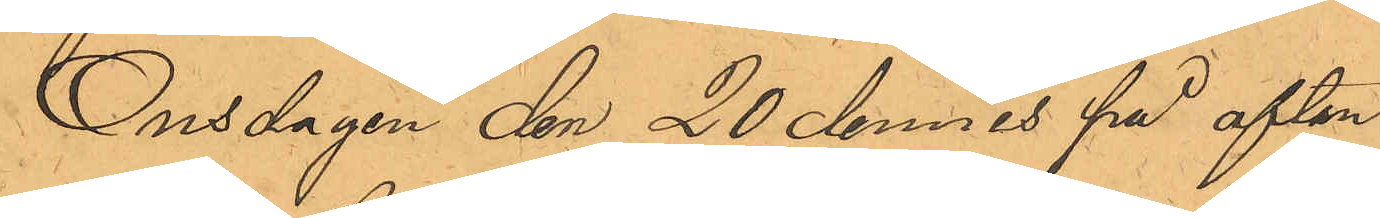Onsdagen den 20 dennes på afton
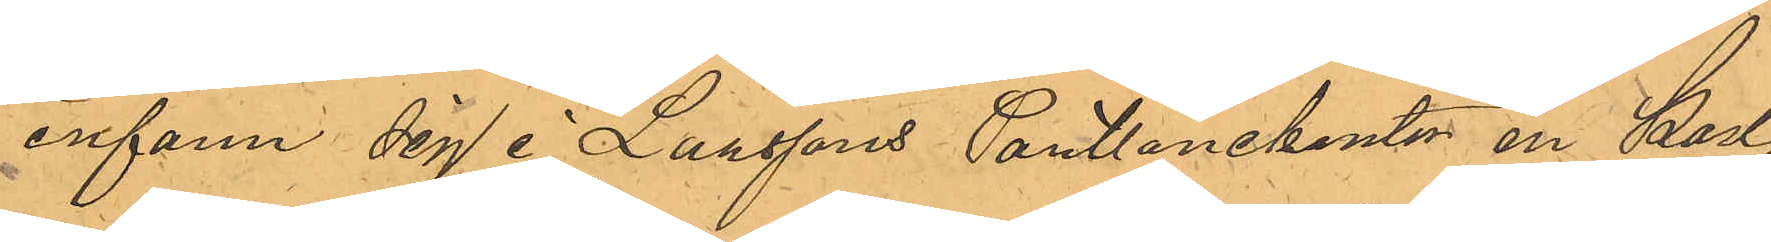infann sig i Larssons Pantlånekontor en Karl,
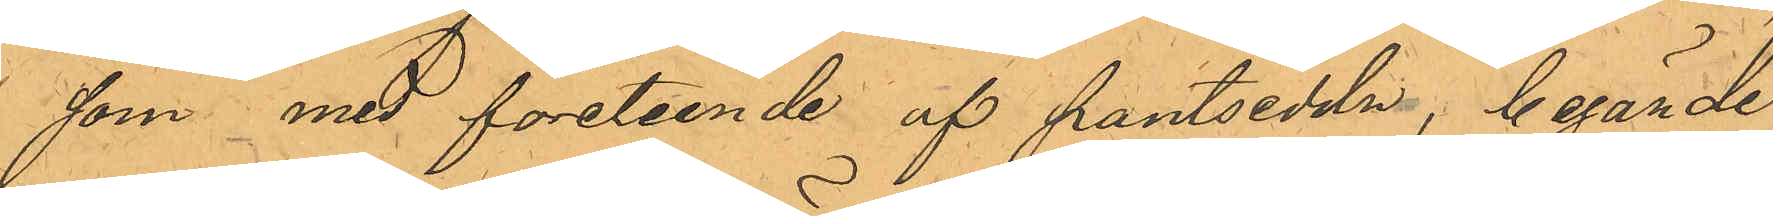som med företeende af pantsedeln, begärde
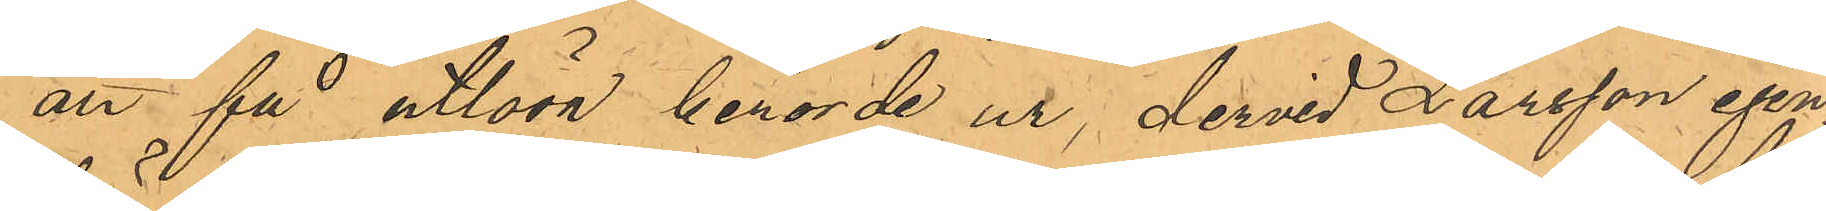att få utlösa berörde ur, dervid Larsson igen¬
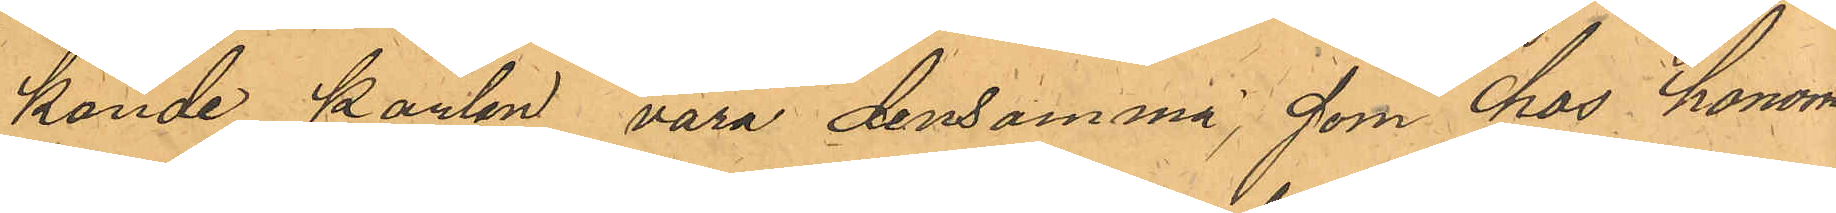kände karlen vara densamma, som hos honom
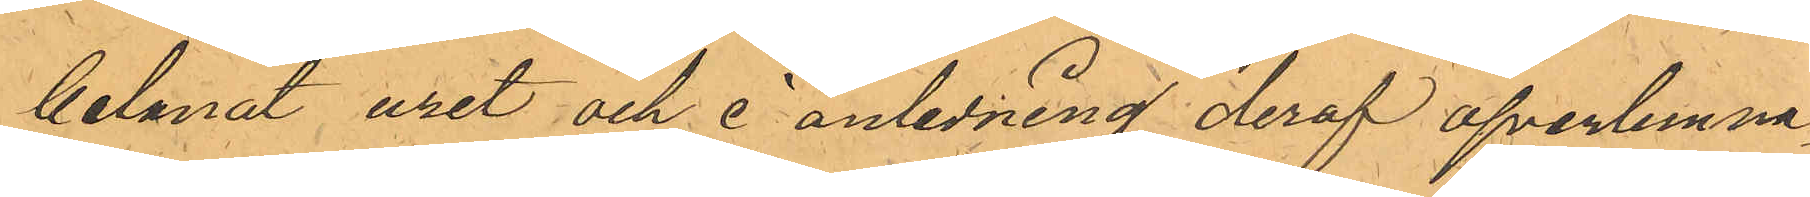belånat uret och i anledning deraf öfverlemna¬
